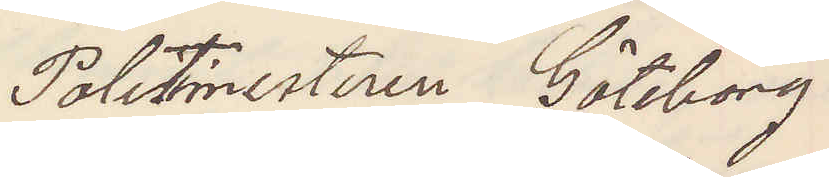Politimesteren Göteborg
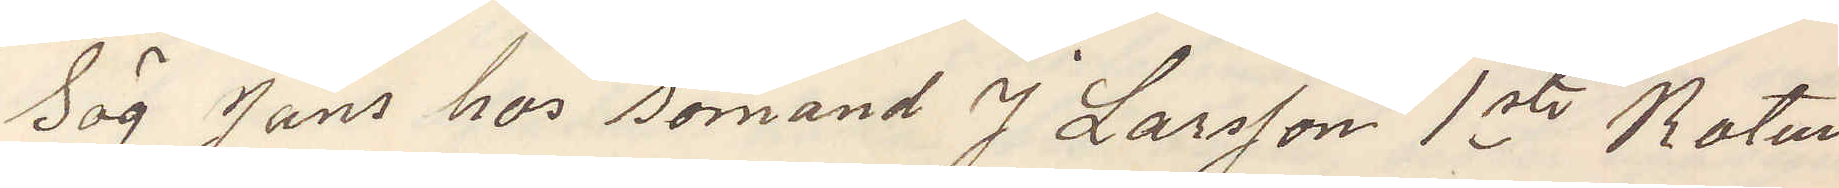Sög Jans hos sömand J Larsson 1ste Roten
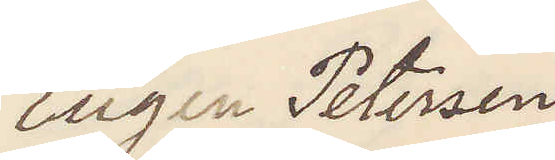Eugen Petersen
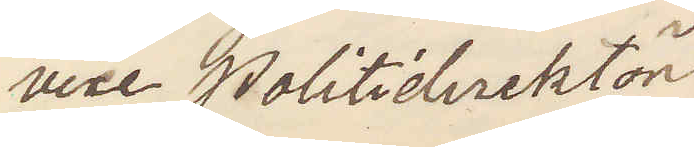vice Politidirektör.
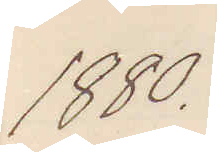1880.
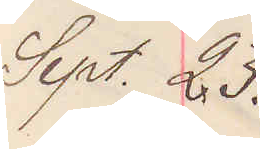Sept 23.
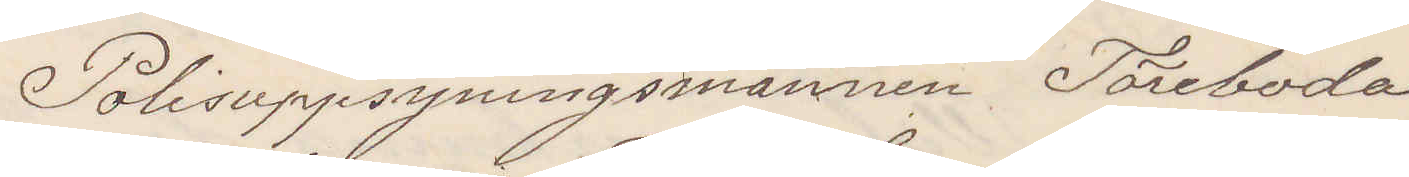Polisuppsyningsmannen Töreboda
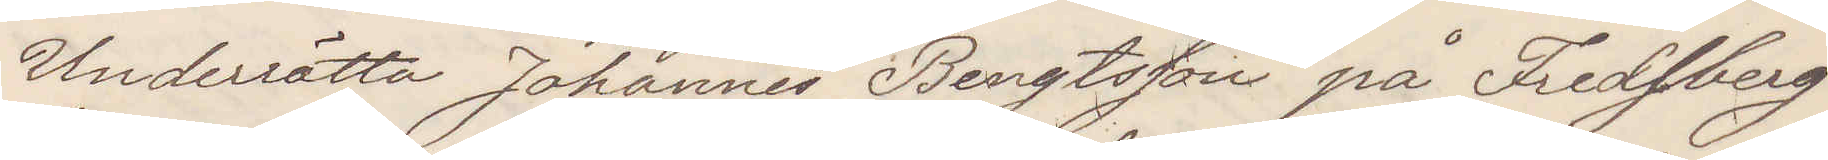Underrätta Johannes Bengtsson på Fredsberg
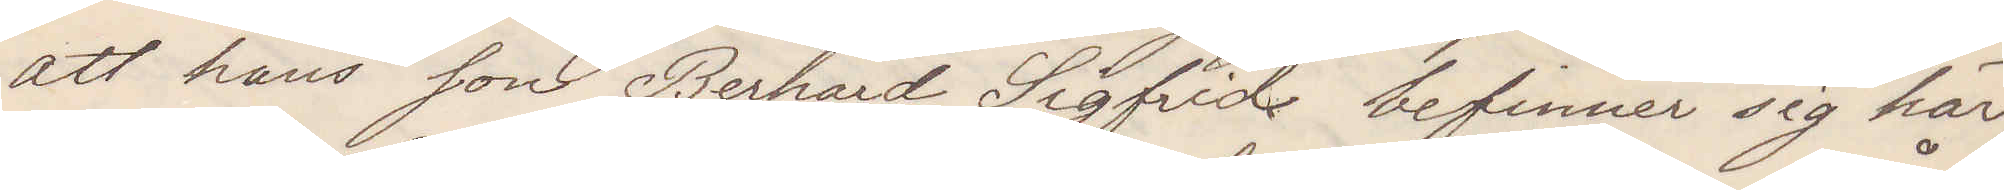att hans son Berhard Sigfrid befinner sig här
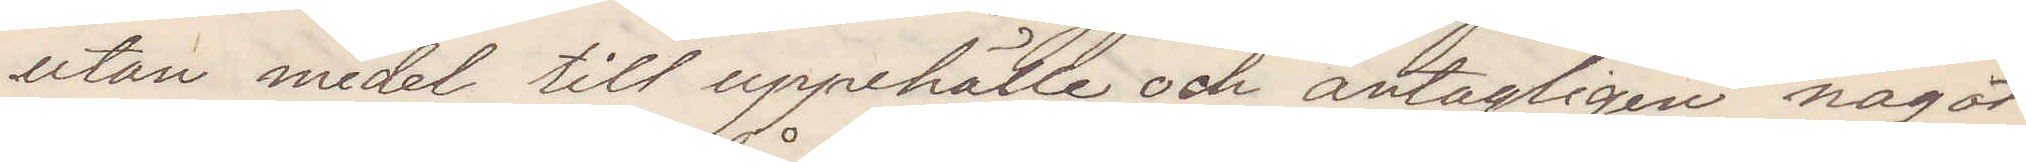utan medel till uppehälle och antagligen något
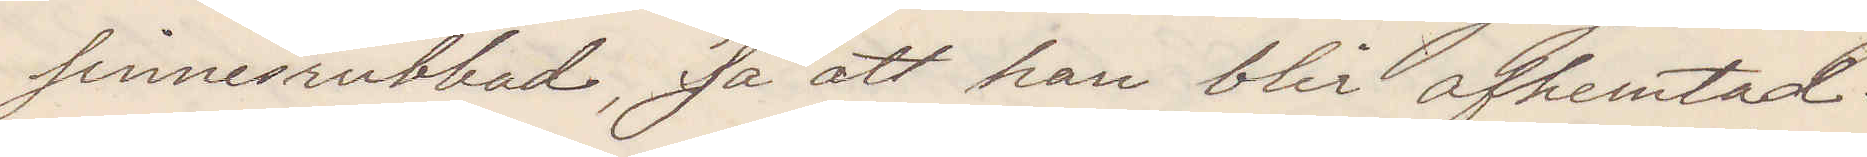sinnesrubbad, så att han blir afhemtad.
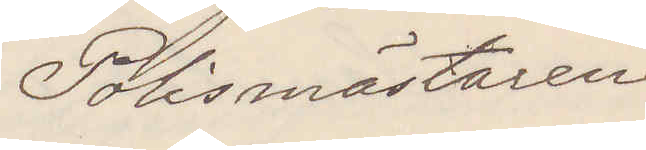Polismästaren
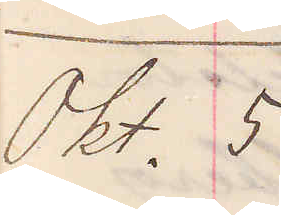Okt. 5
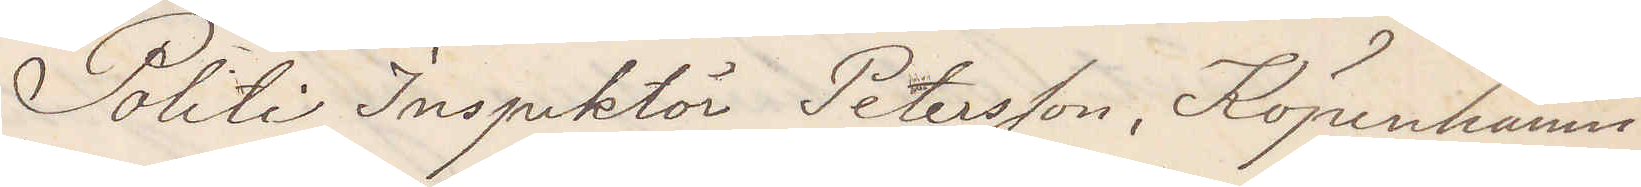 Politi Inspektör Peterson, Köpenhamn
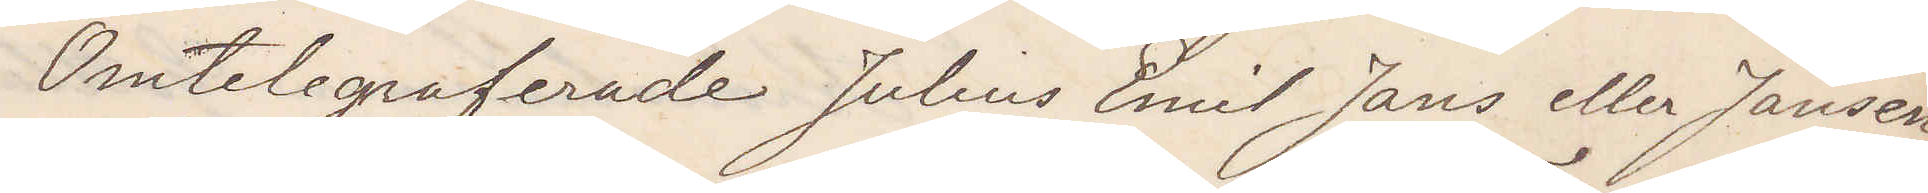Omtelegraferade Julius Emil Jans eller Jansen
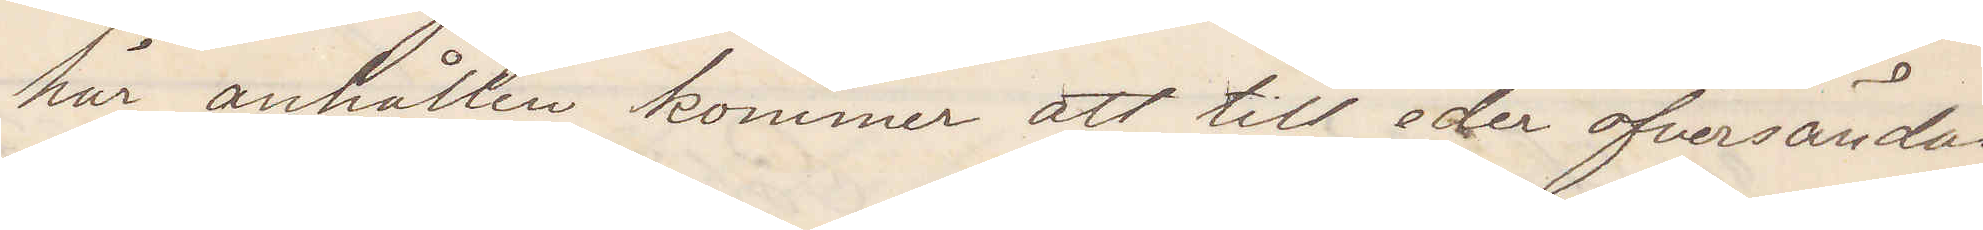här anhållen kommer att till eder öfversändas
